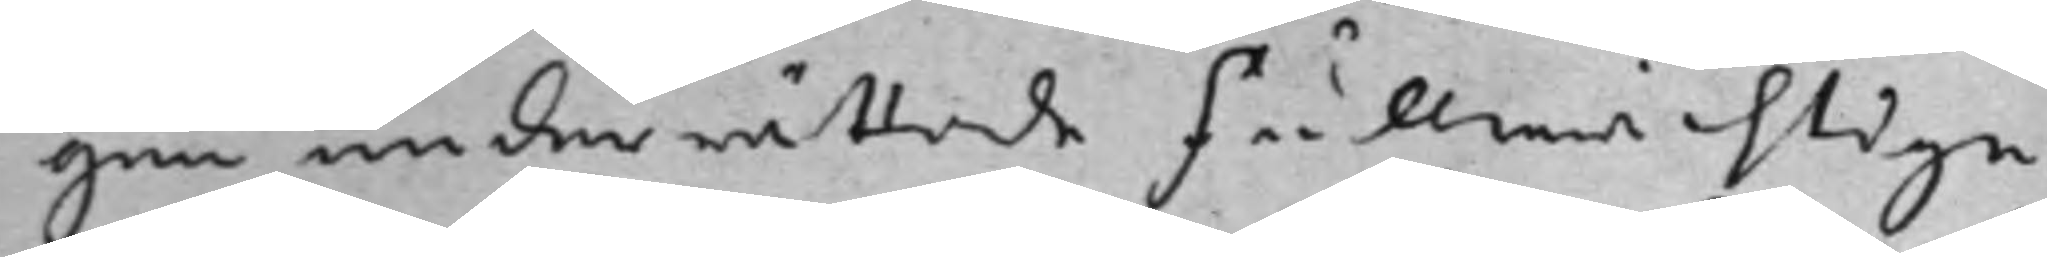gen underrättade Fullmächtige
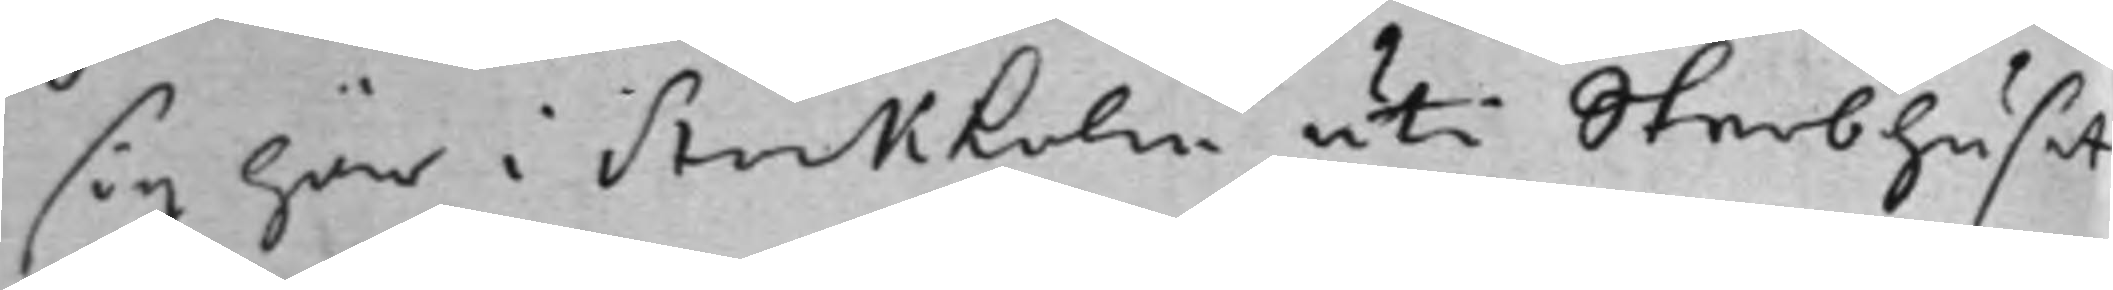sig här i Stockholm uti Sterbhuset
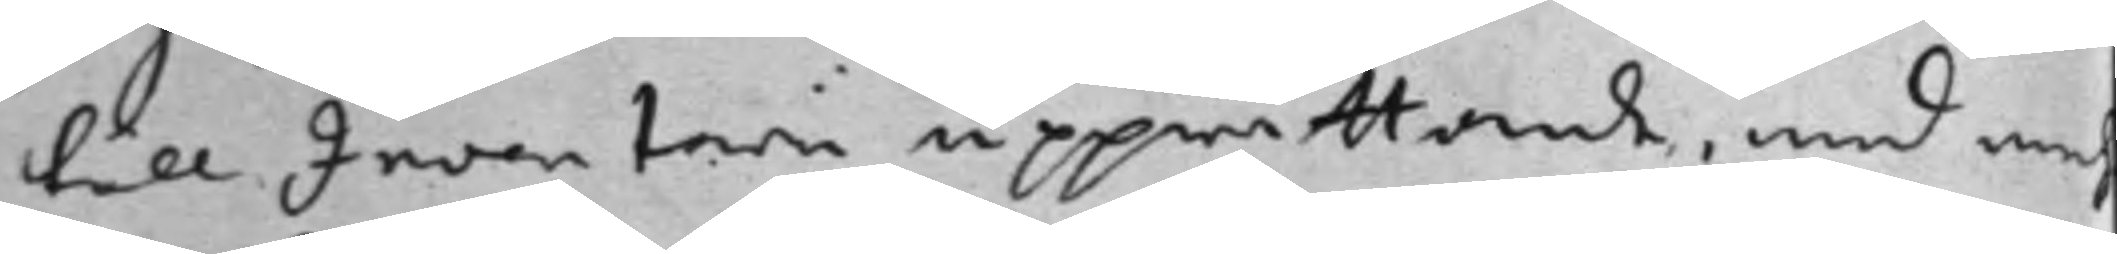till Inventarii upprättande, med meh¬
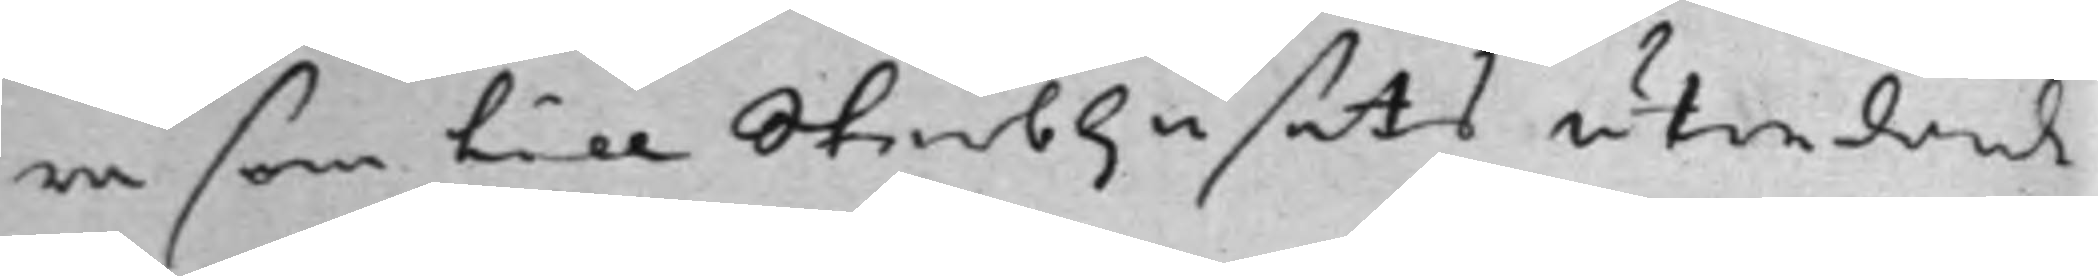ra som till Sterbhusets utredande
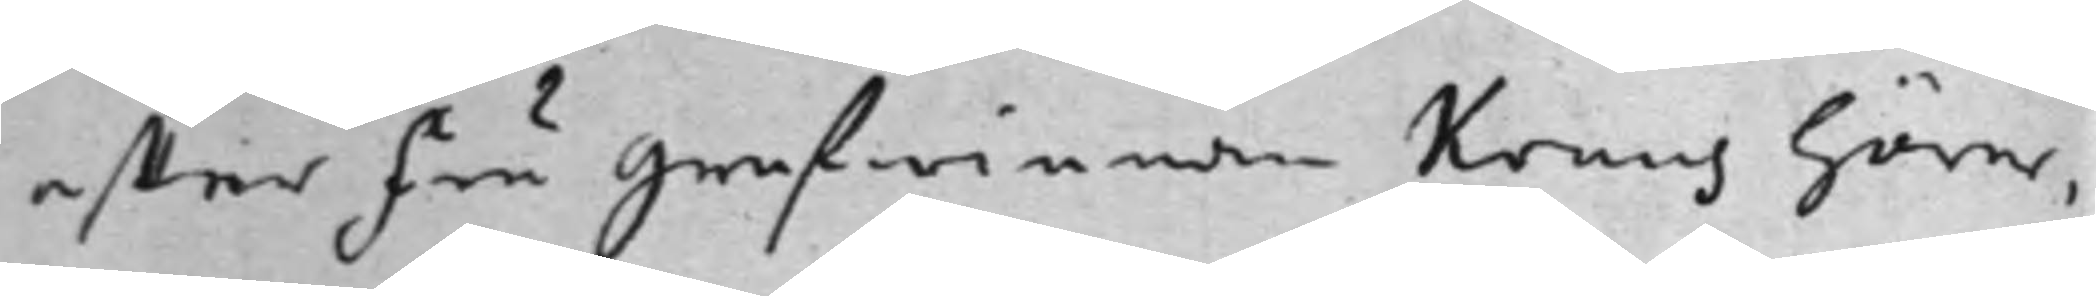effter Fru Grefwinnan Kruus hörer,
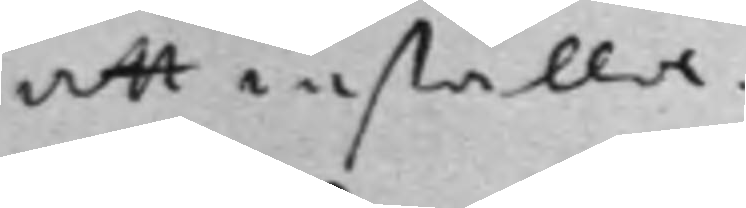att inställa.
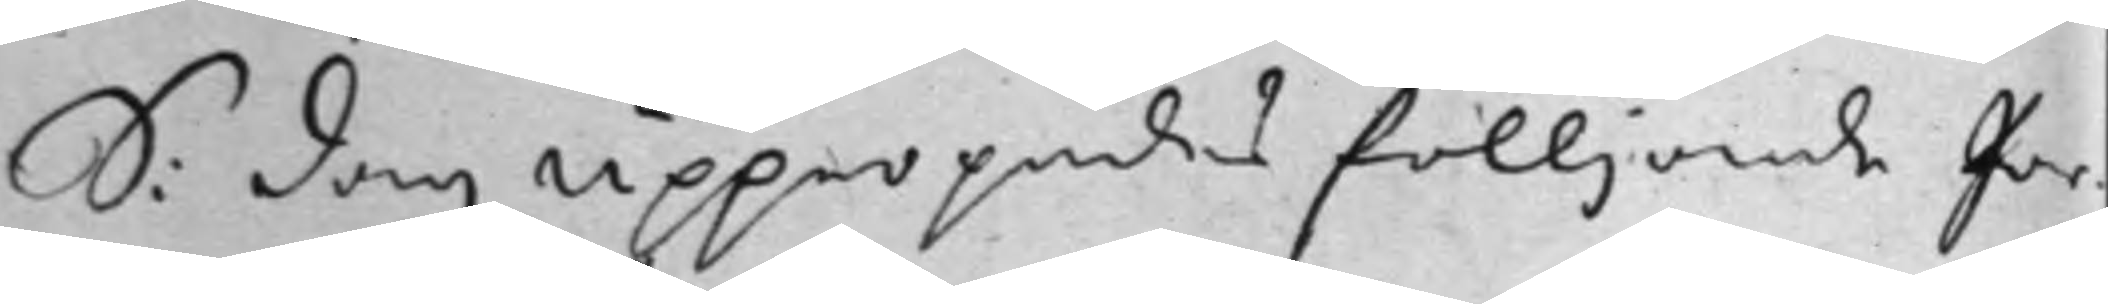S: dag Uppropades fölljande Par¬
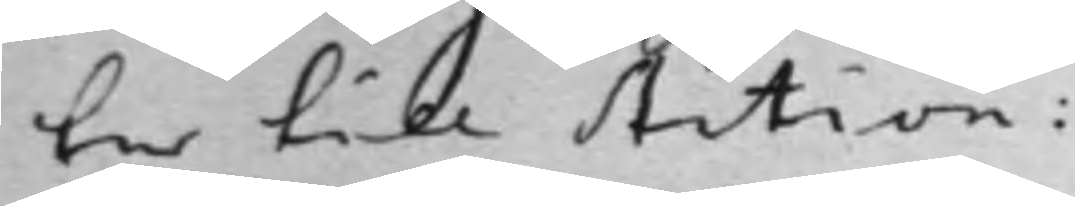ter till Action:
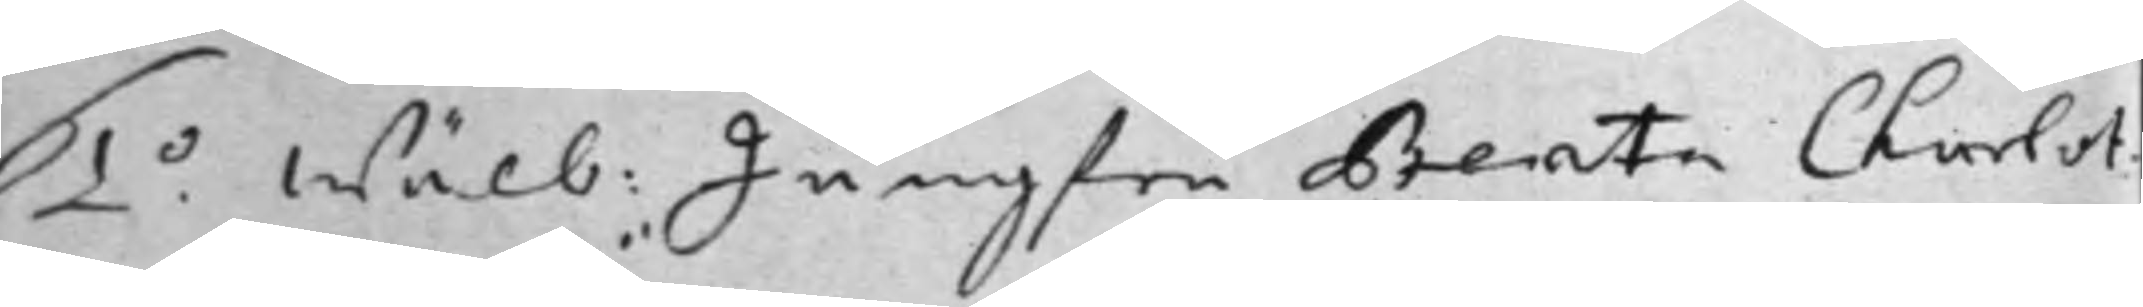1.o Wälb: Jungfru Beata Charlot¬
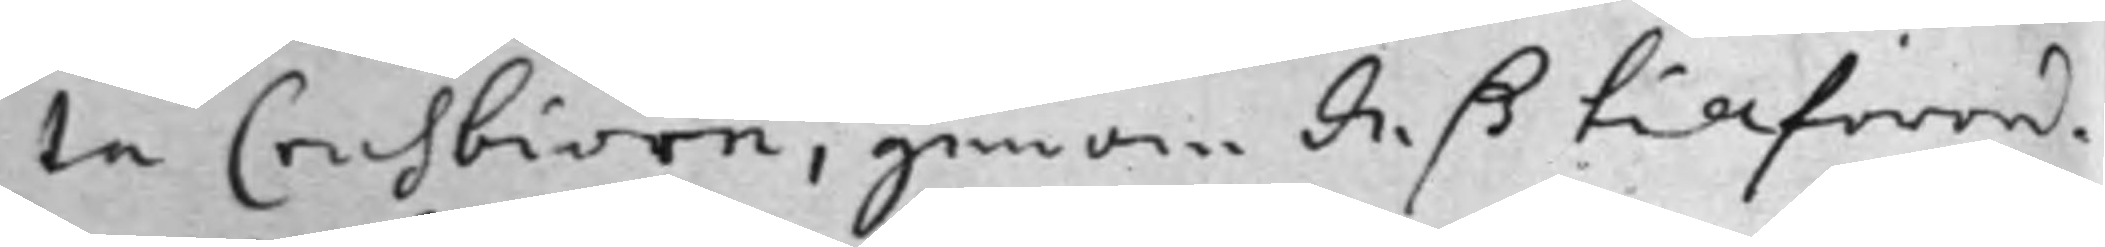ta Crusbiörn, genom deß tillförord¬
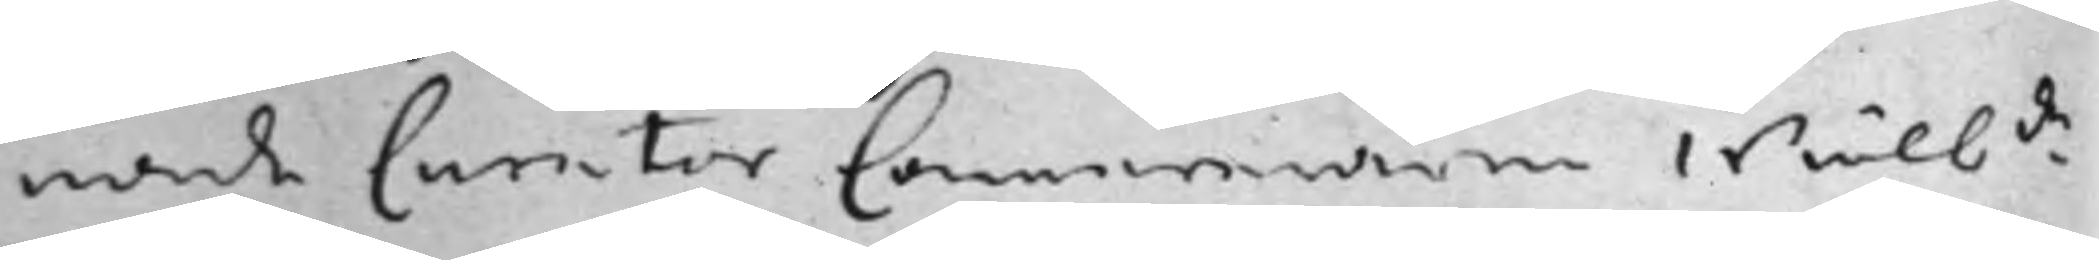nade Curator Cammereraren Wälb.de
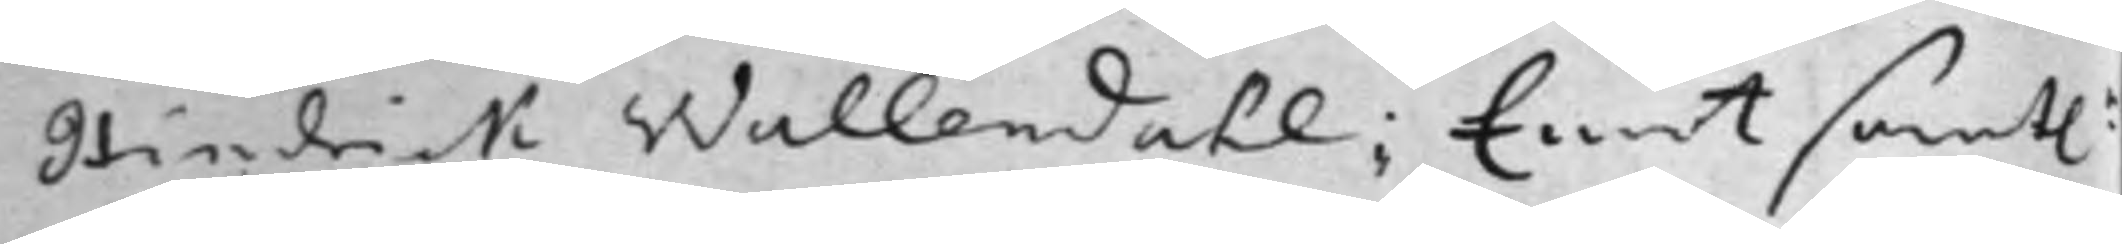Hindrik Wallendahl; Emot samt:e
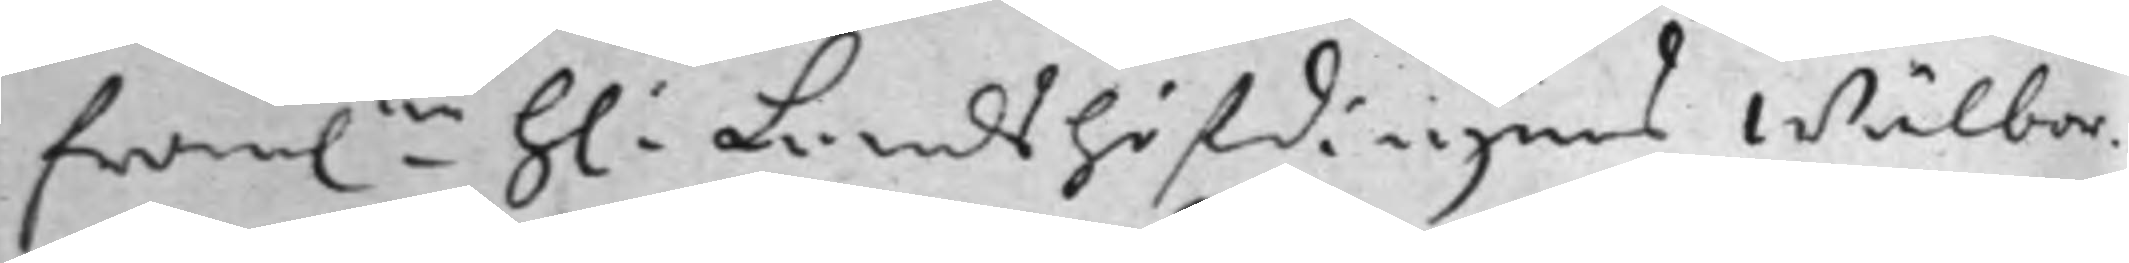fram.ne h: Landshöfdingens Wälbor¬
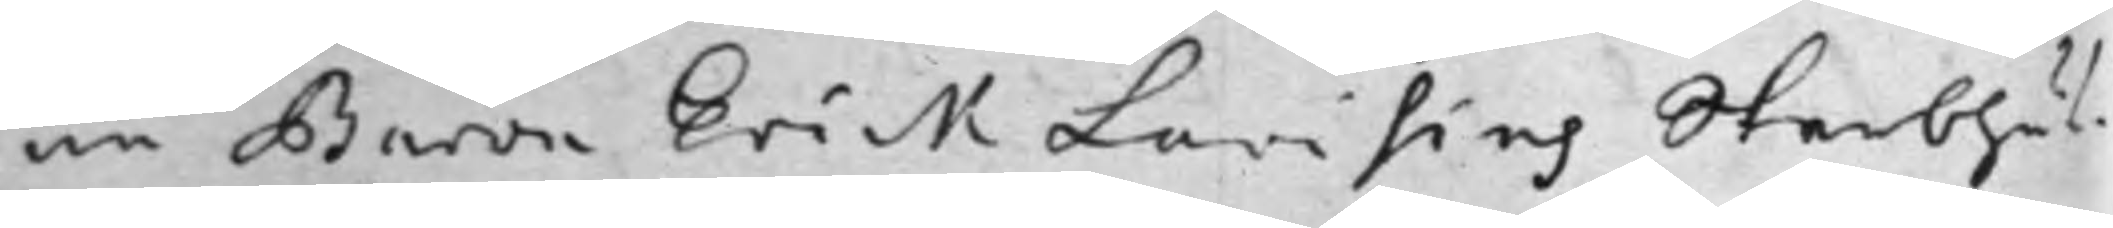ne Baron Erick Lovisins Sterbhus¬
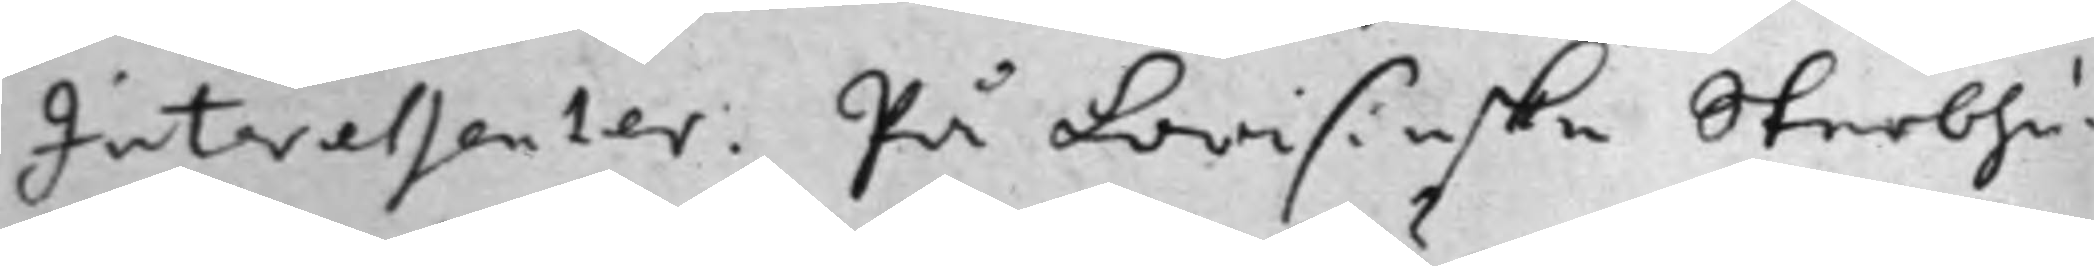Interessenter. På Lovisinske Sterbhu¬
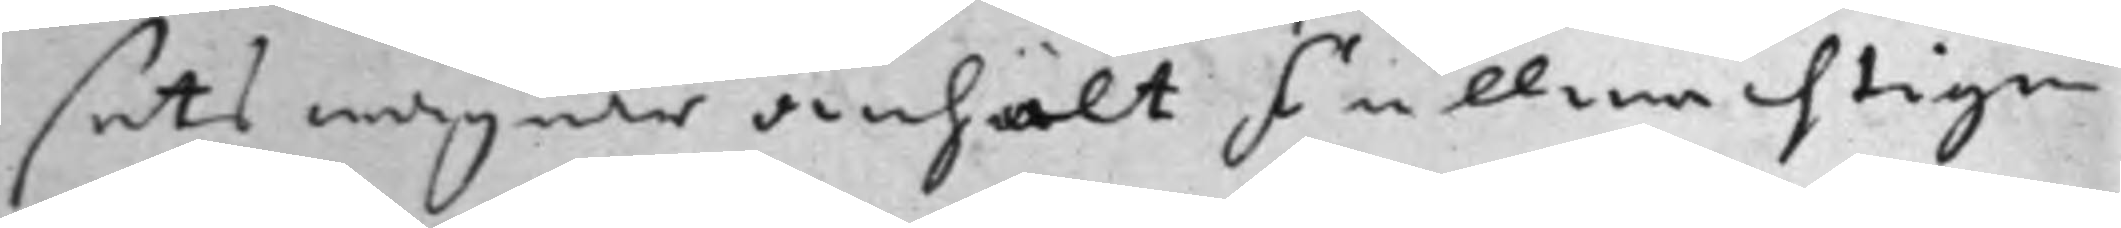sets wägnar anhölt Fullmächtigen
